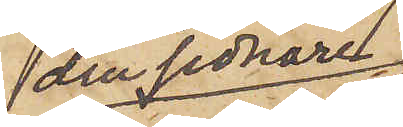den sednare
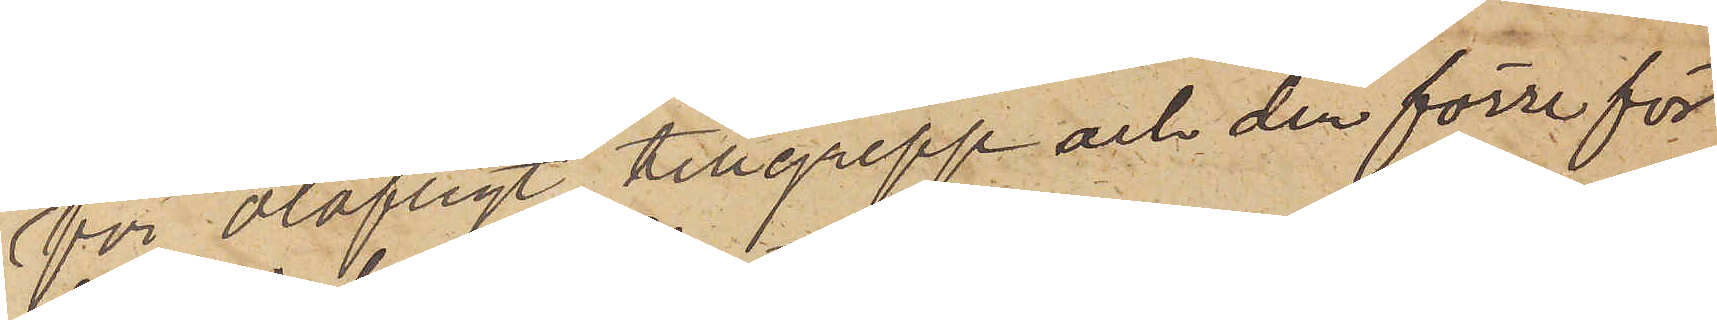för olofligt tillgrepp och den förre för
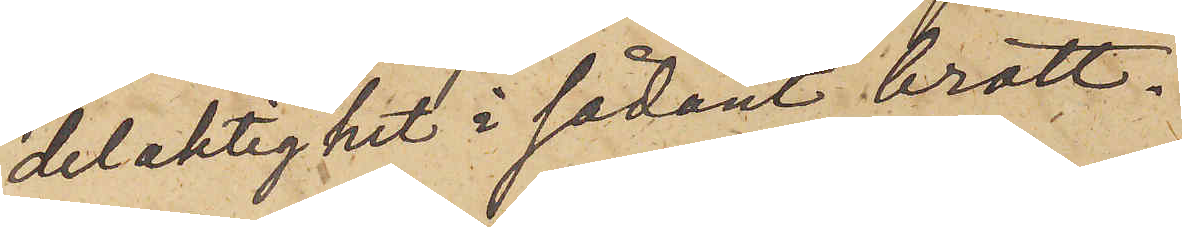delaktighet i sådant brott.
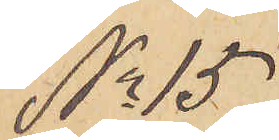No 15.
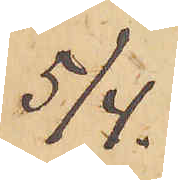5/4.
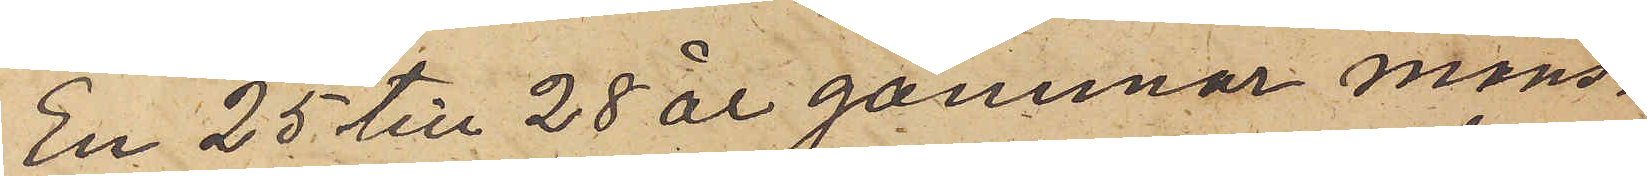En 25 till 28 år gammal mans¬
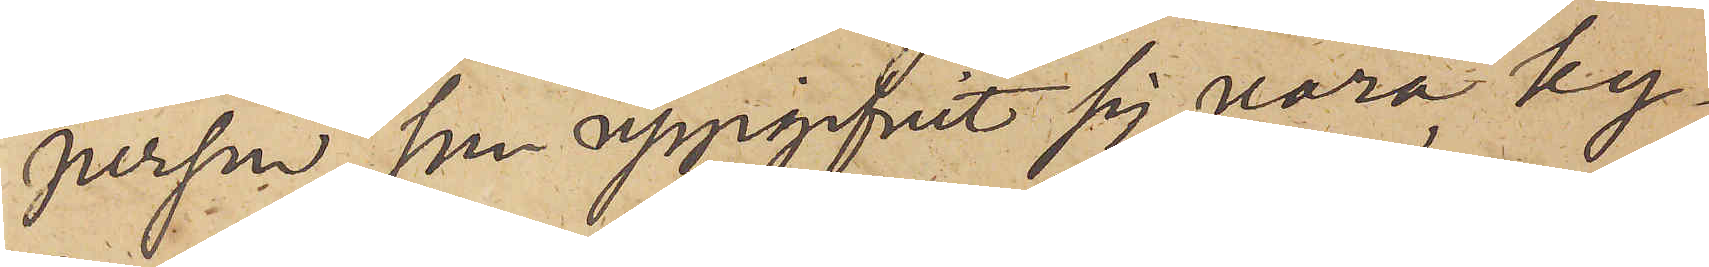person, som uppgifvit sig vara ky¬
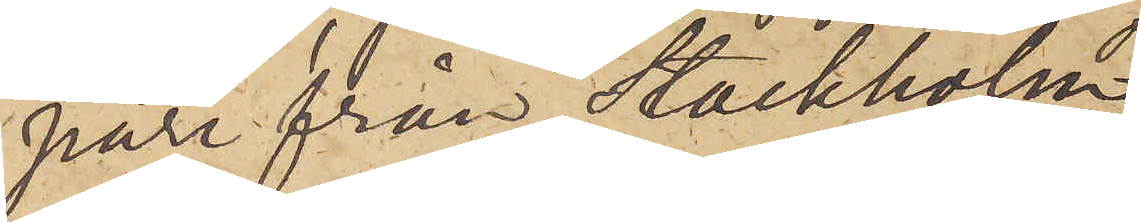pare från Stockholm,
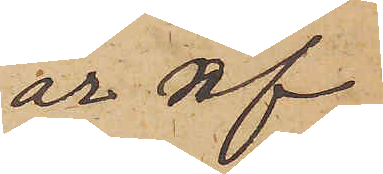är af
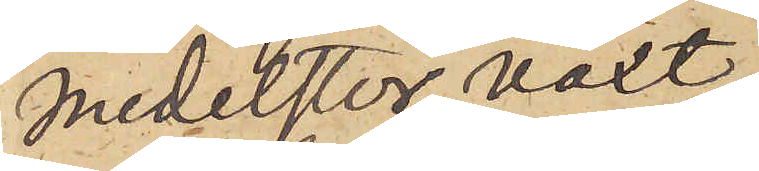medelstor växt,
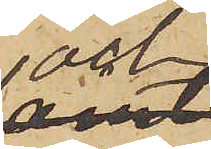och
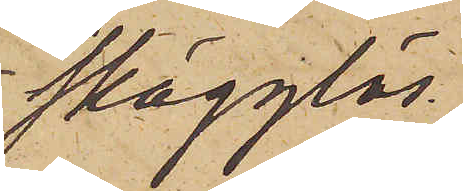skägglös
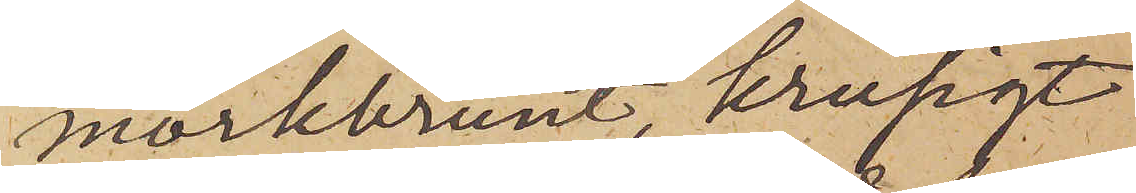mörkbrunt, krusigt
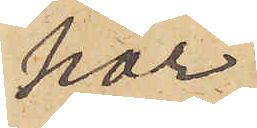hår
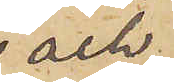och
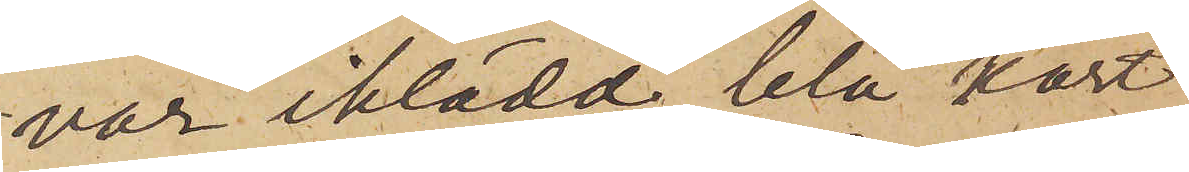var iklädd blå kort
